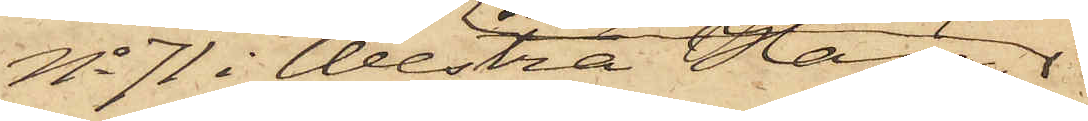No 71 i Westra Haga,
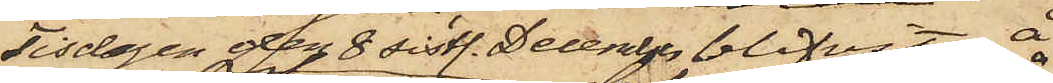Tisdagen den 8 sistl. December blifvit å
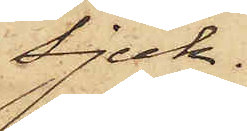Sjuk¬
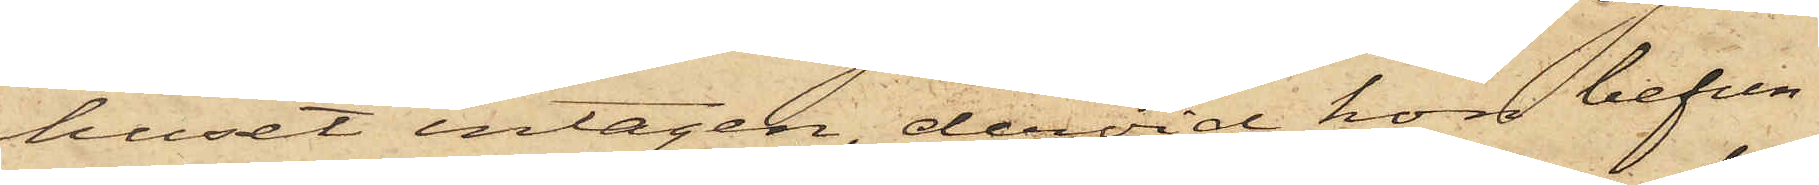huset intagen, dervid hon befun¬
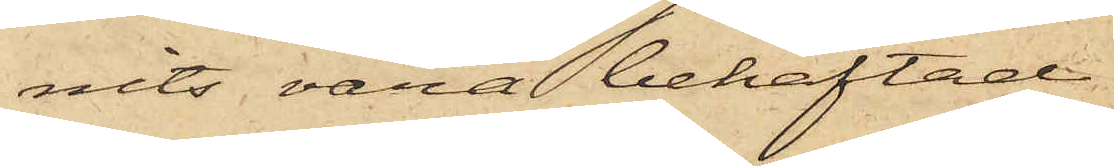nits vara behäftad
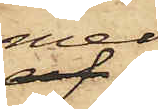med
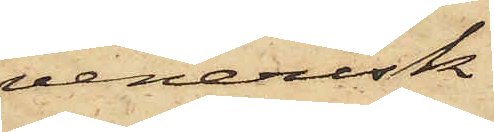venerisk
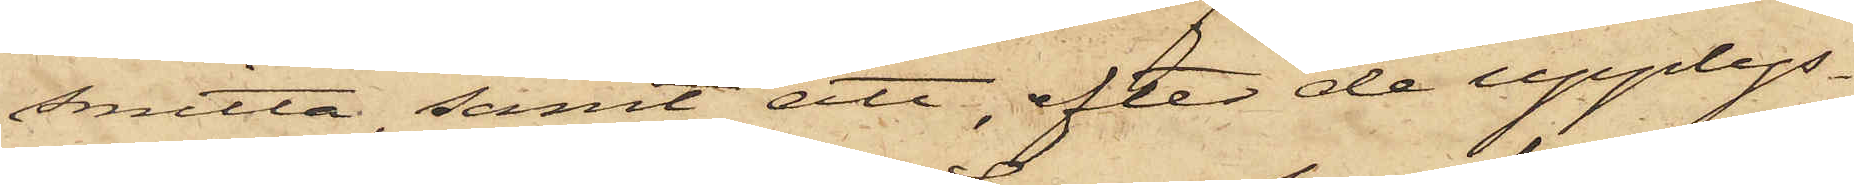smitta, samt att, efter de upplys¬
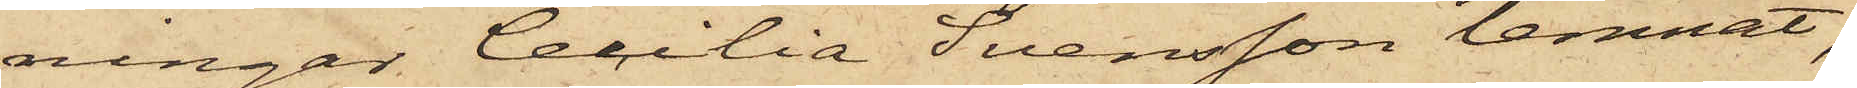ningar Cecilia Svensson lemnat,
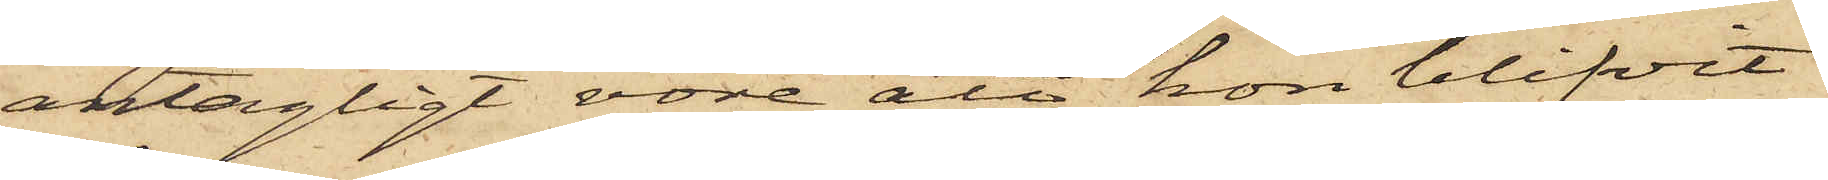antagligt vore att hon blifvit
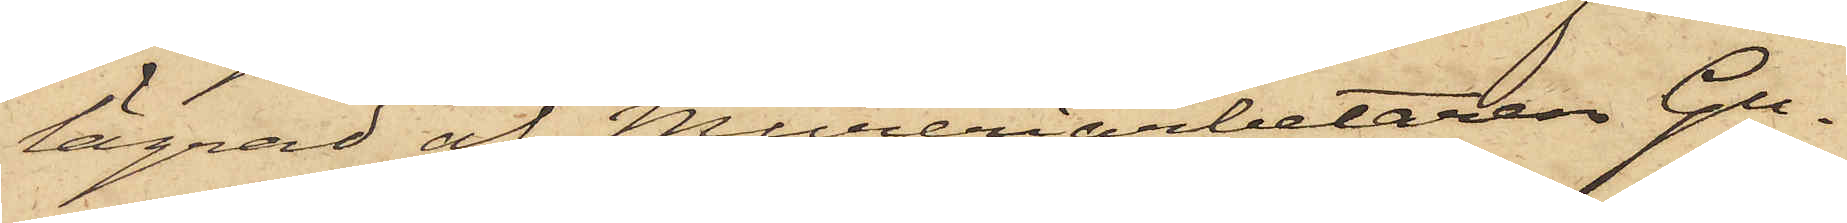lägrad af Mureriarbetaren Gu¬
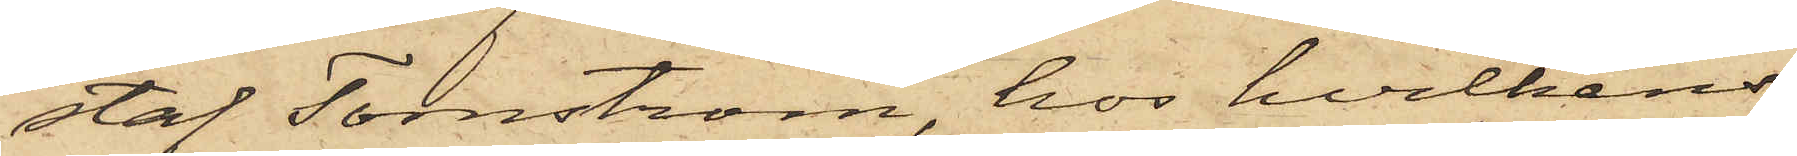staf Tornström, hos hvilkens
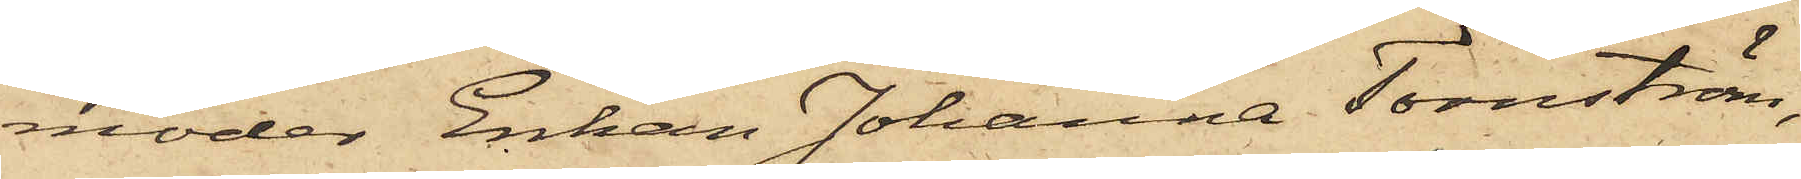moder Enkan Johanna Tornström,
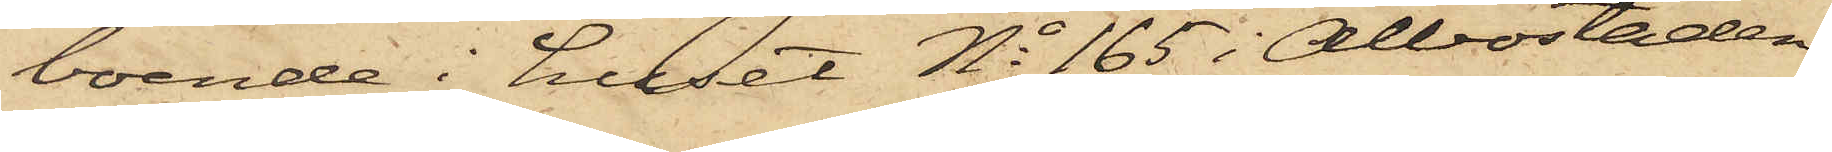boende i huset No 165 i Albostaden,
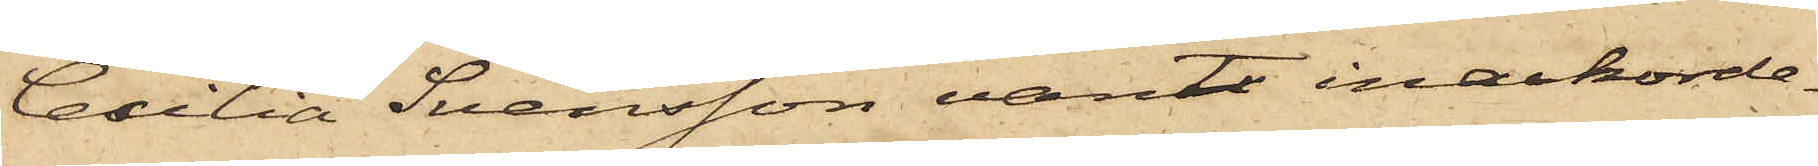Cecilia Svensson varit inackorde¬
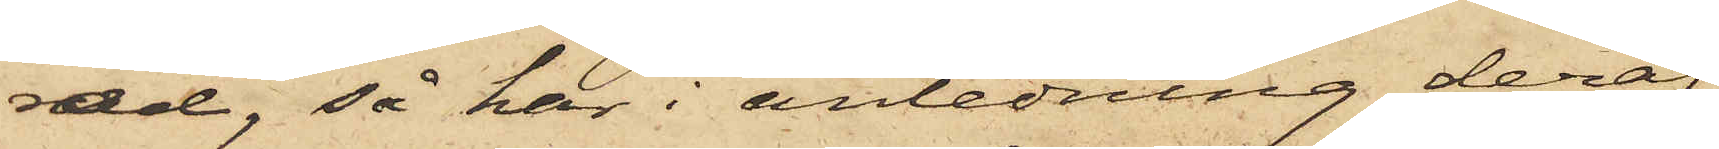rad, så här i anledning deraf
